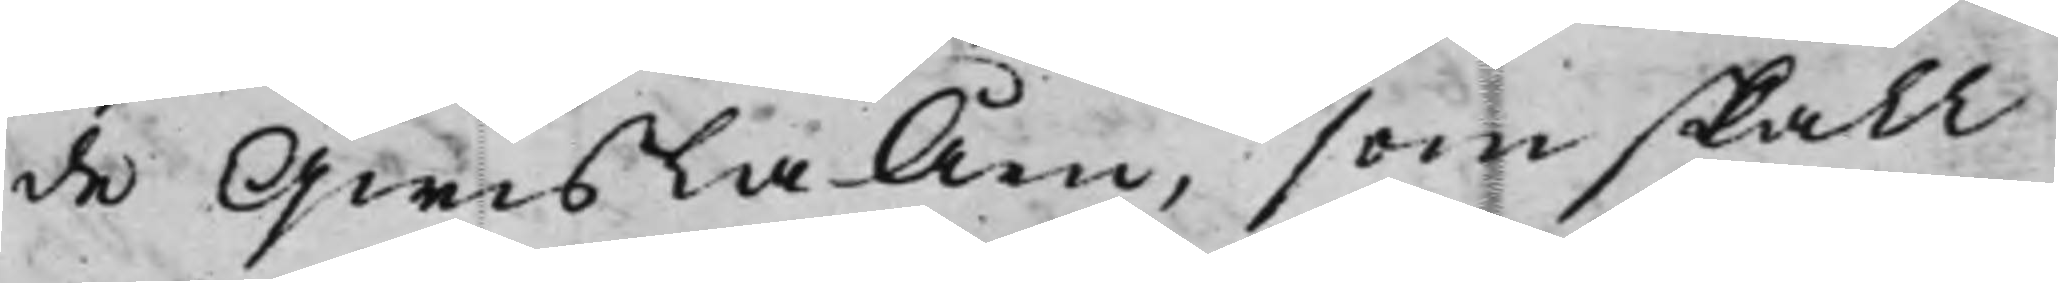de QwislaÅen, som skall
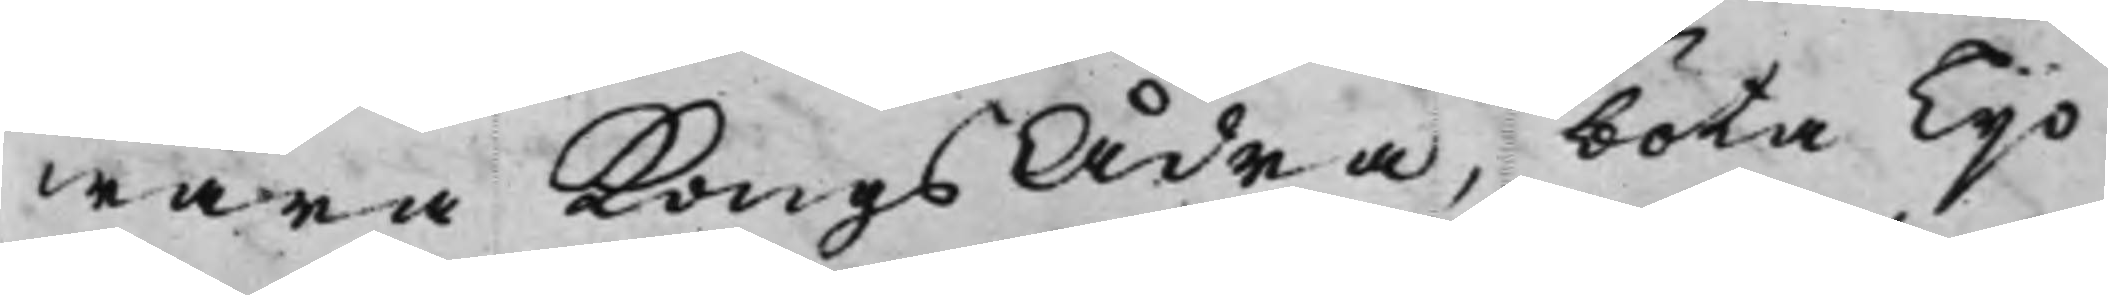wara KongsÅdra, böta Tijo
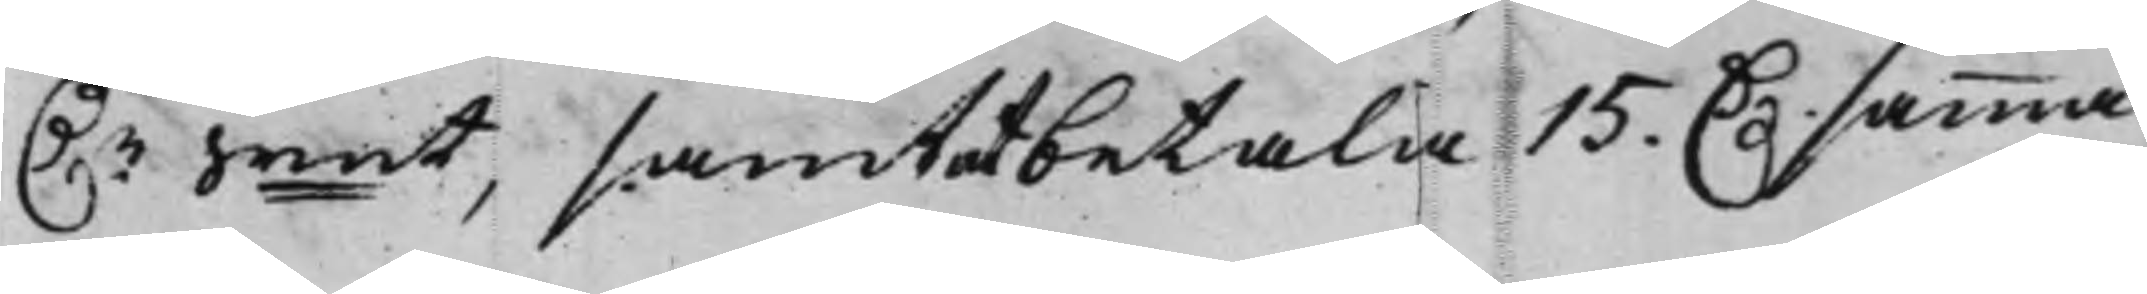D.r Srmt, samt at betala 15. D. samma
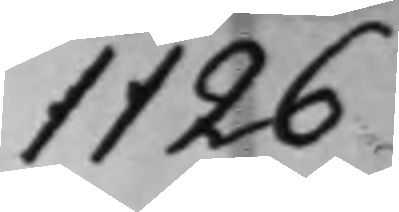1126
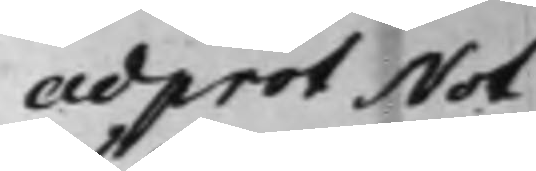ad prot Not
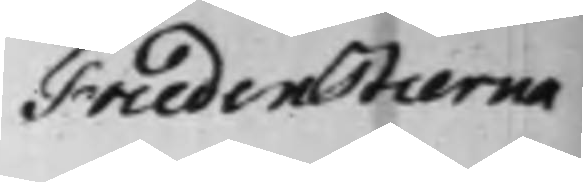Fredenstierna
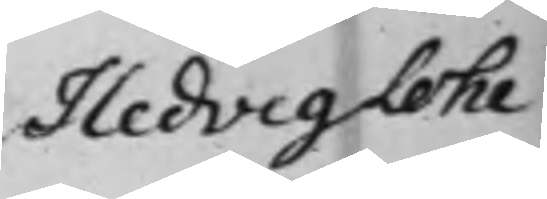Hedvig Lohe
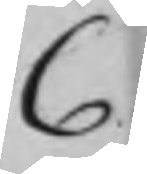C
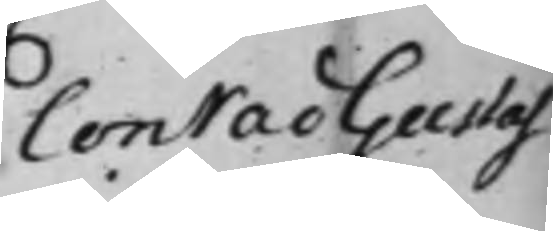Conrad Gustaf
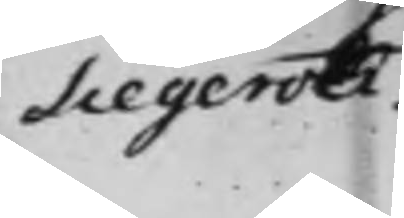Siegeroth.
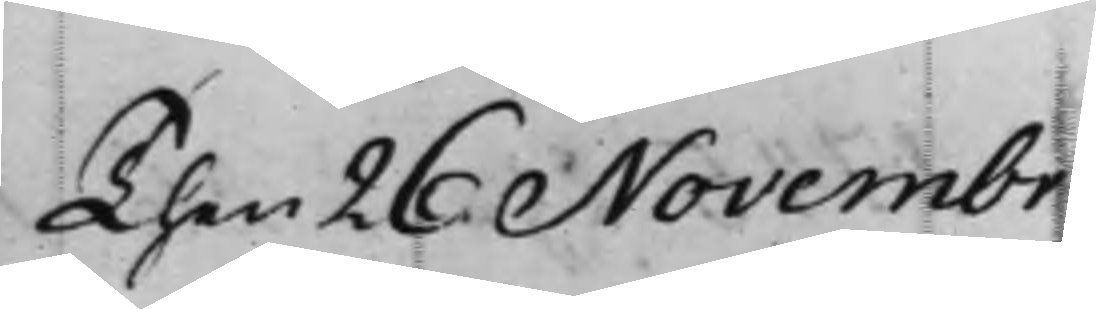Then 26 Novembr
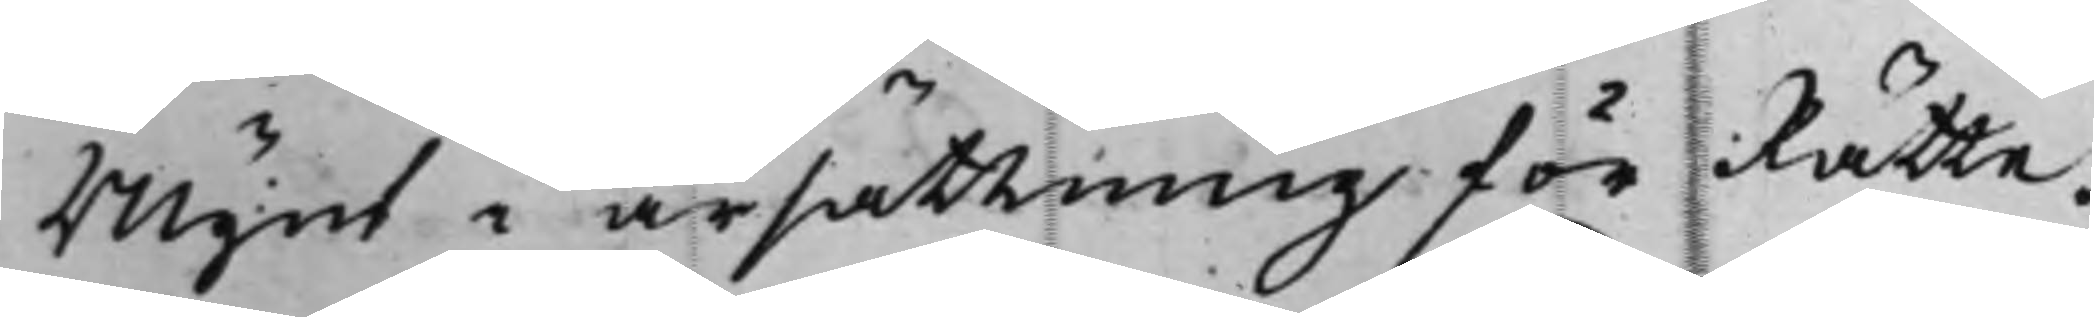Mynt i ärsättning för Rätte¬
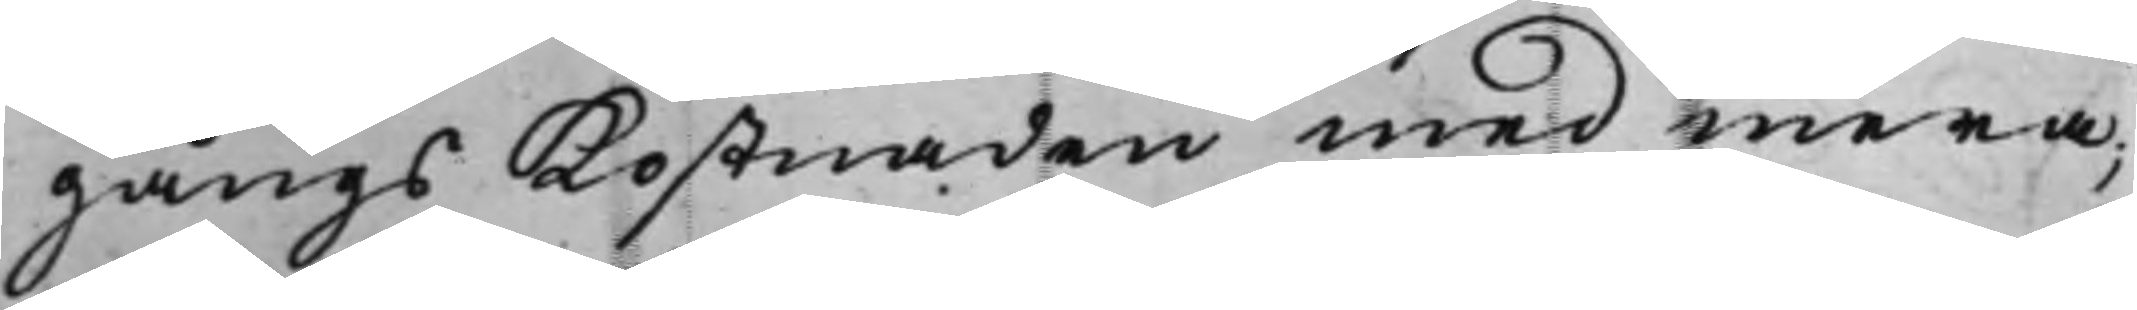gångs Kostnaden med mera;
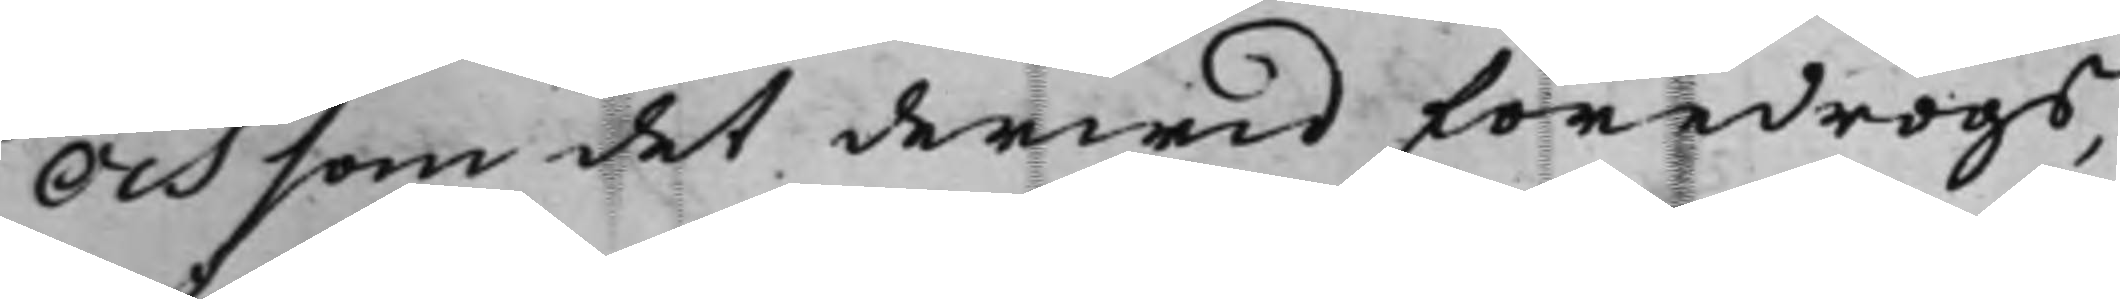Och som det derwid föredrogs,
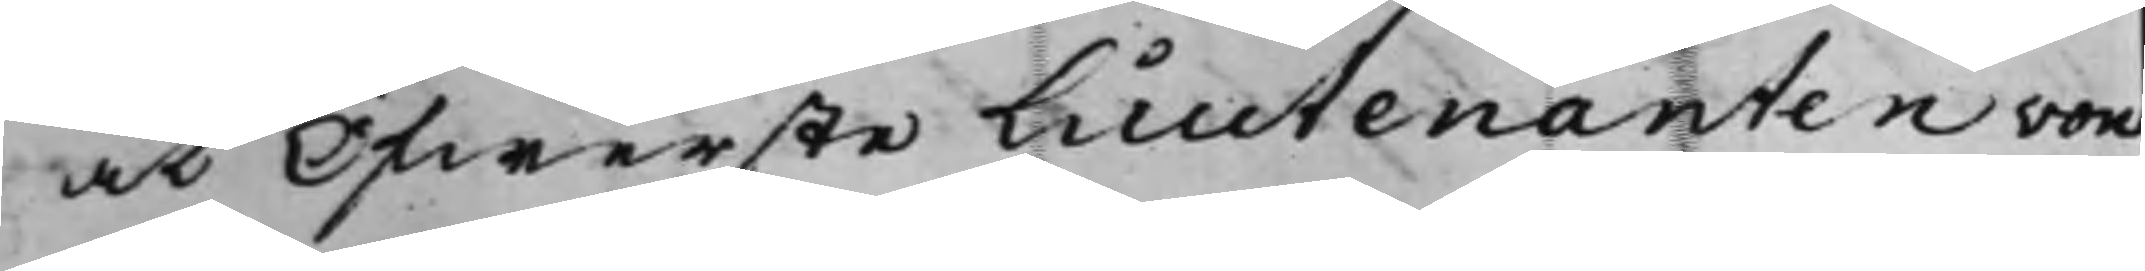at Öfwerste Lieutenanten von
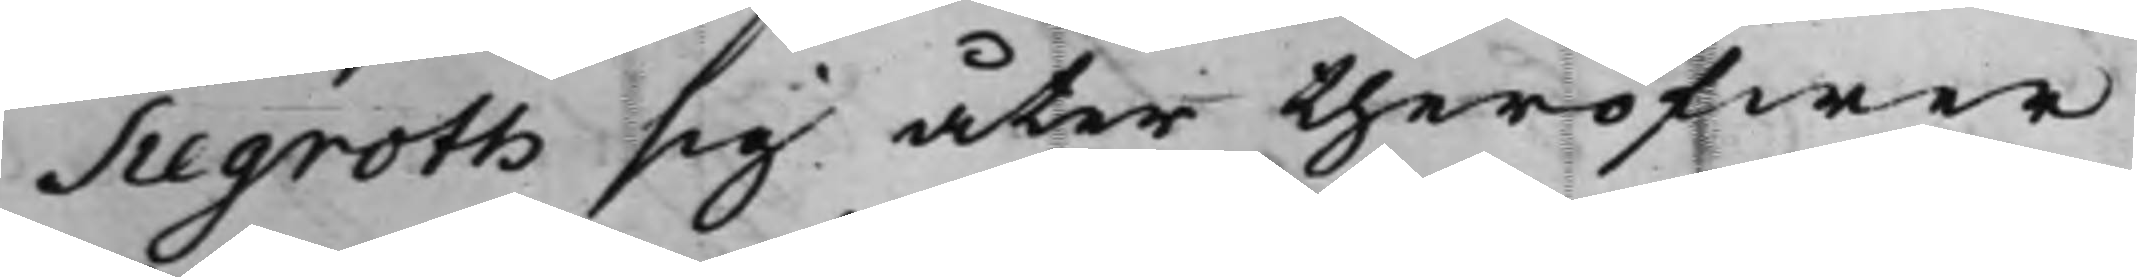Siegroth sig åter theröfwer
